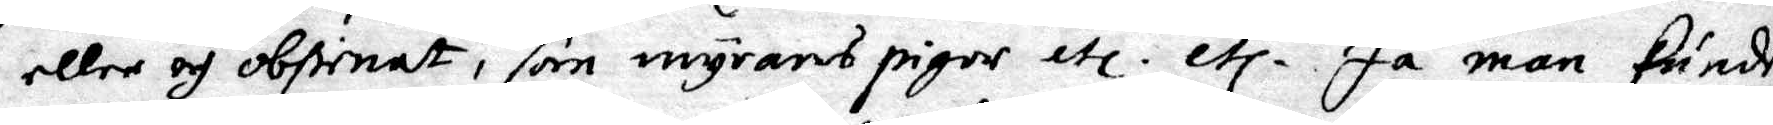eller och obstinat, som myrans pigor etc. etc. Ja man kunde
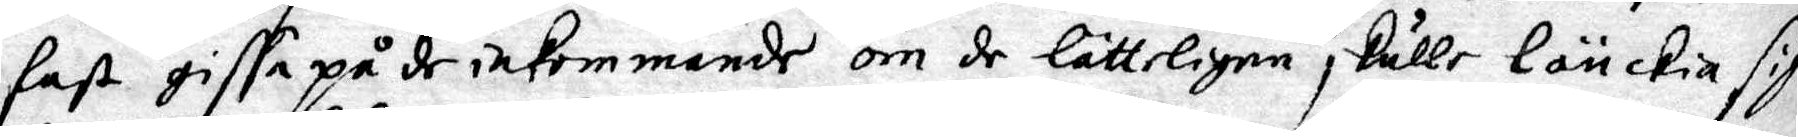fast giffa på de inkommande om de lätteligen skulle länckia sig
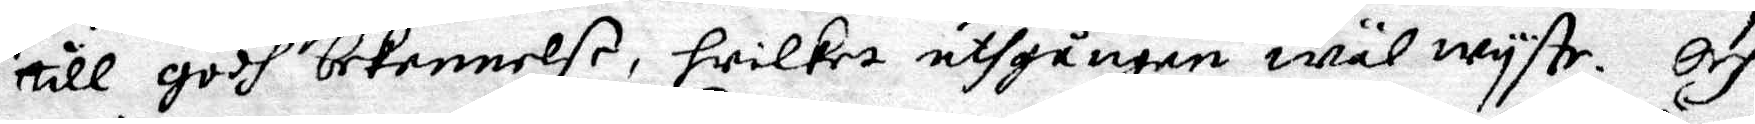till godh bekennelse, hwilhet uthgången wäl wyste. Och
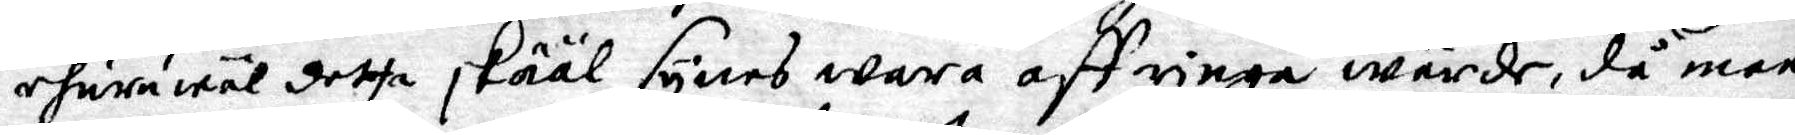ehuruwäl detta skääl synes wara aff ringa wärde, då man
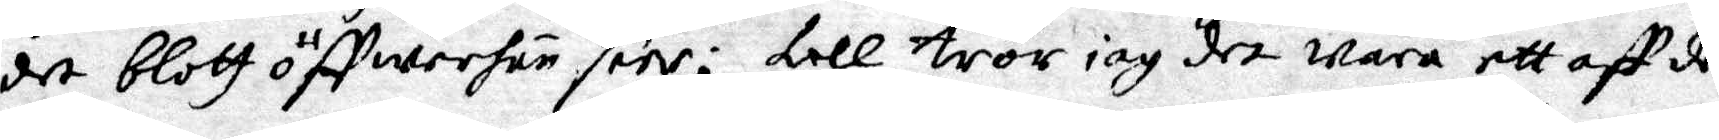det blott öffwerhun seer; till tror iag det wara ett aff de
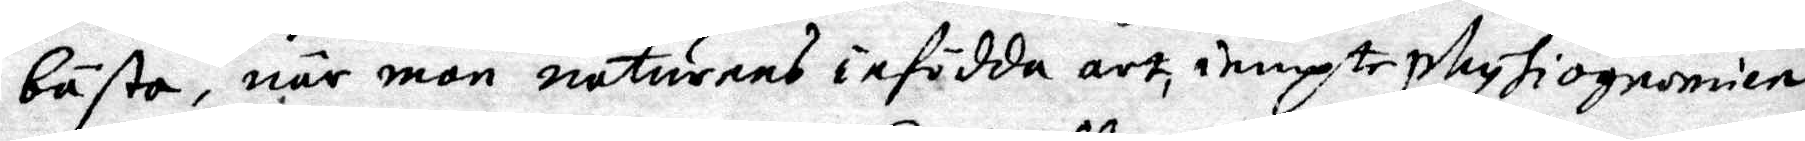bästa, när man naturens infödda art, iempte physiognonien
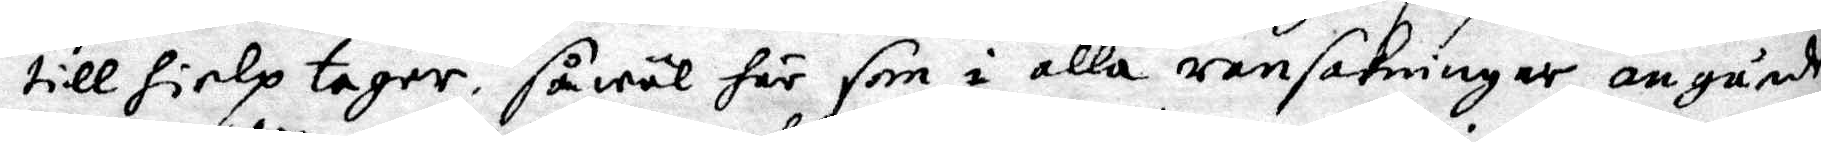till hielp tager, såwäl här som i alla ransakningar angående
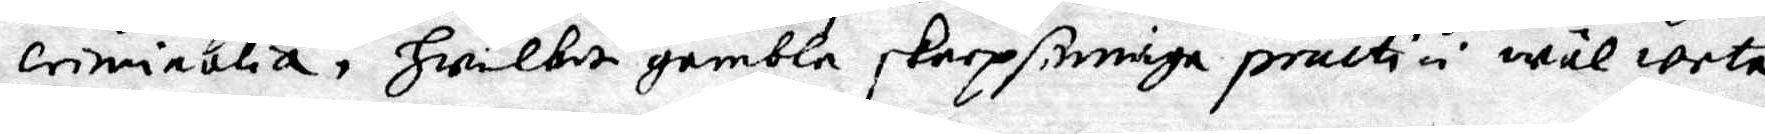criminalia, hwilka gambla skaprsinniga practici wäl weta
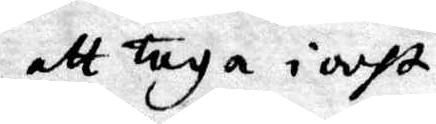att taga i acht.
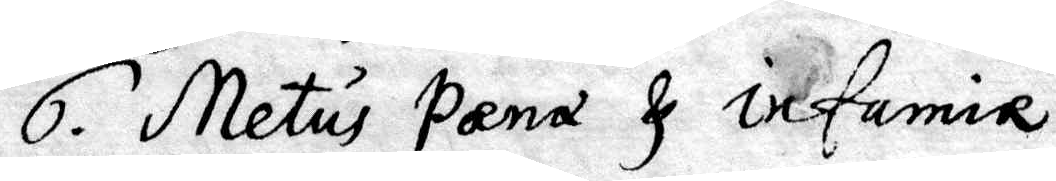6. Metus pæna I infamie.
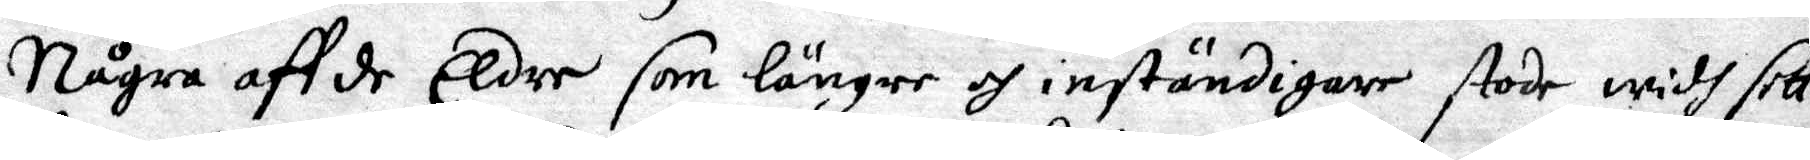Några aff de Eldre som längre och inständigare stode widh sitt
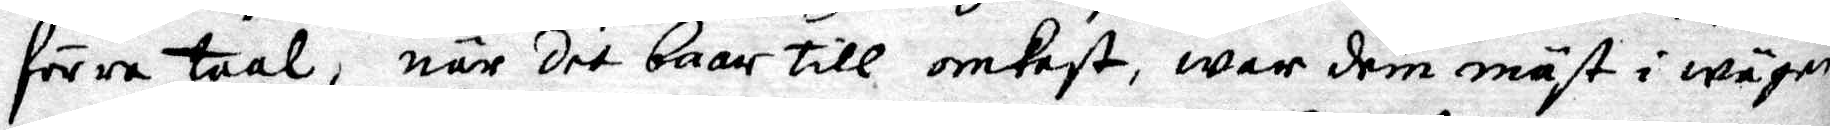förra taal, när det baar till omkost, war dem mäst i wägen
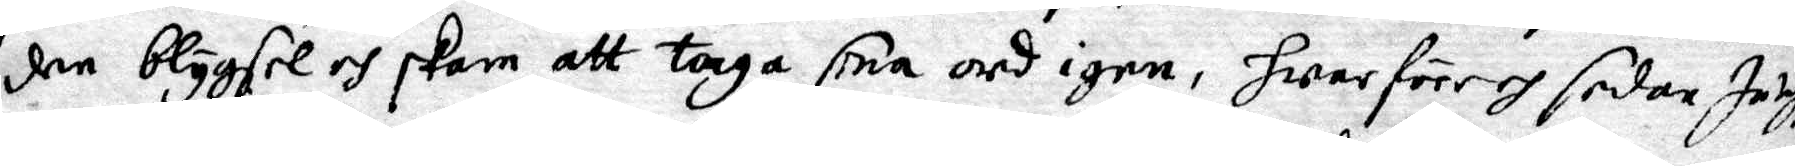den blygsel och skam att taga sine ord igen, hwarföre och sedan Jag för
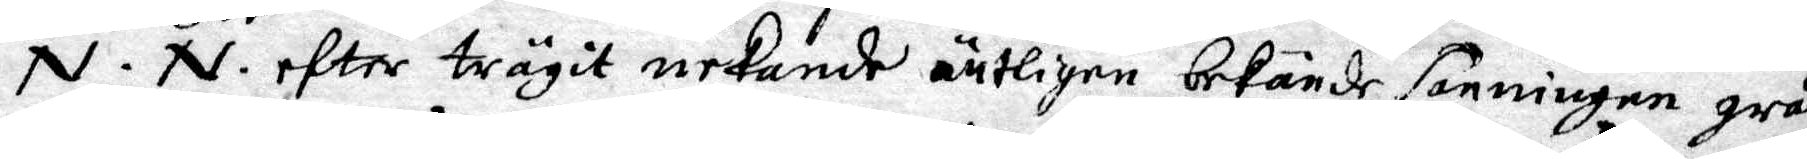N.N. efter trägit nekande äntligen bekände sanningen gråtande
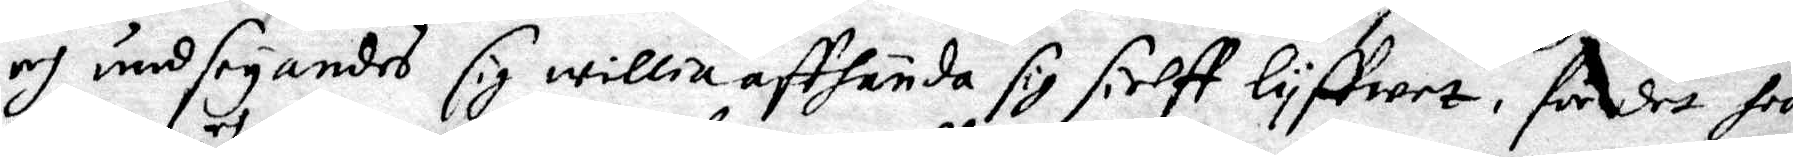och undseyandes sig willia affhända sig sielff lyffwet, för det han
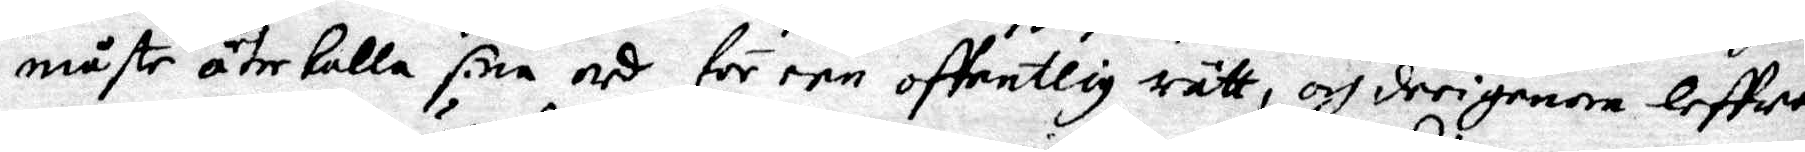måtte återkalla sine ord för een offentlig rätt, och derigenom leffwa
